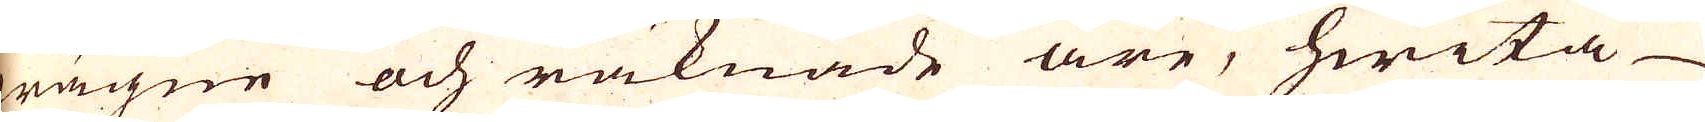wägne och räknade äre, hwita
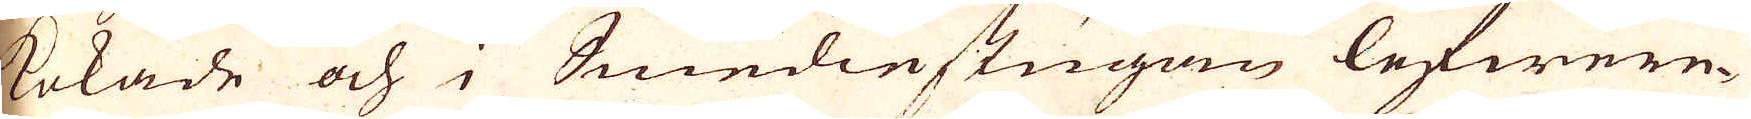kokade och i Smedinstugan lefwere-
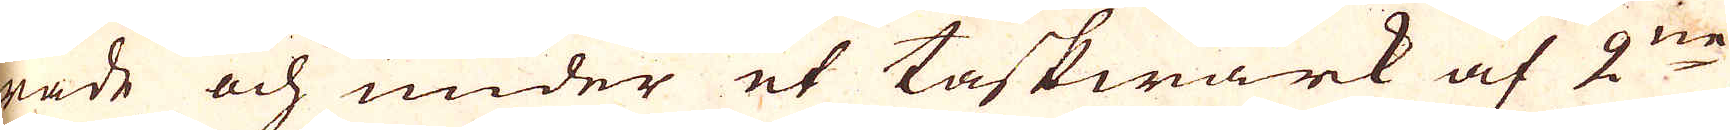rade och under et taskwärk af 2:ne
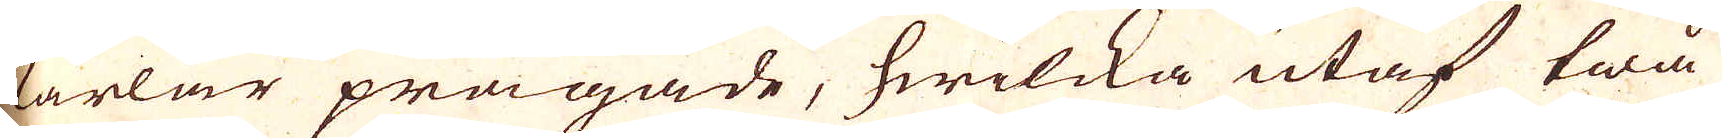karlar prägade, hwilcka utaf twå
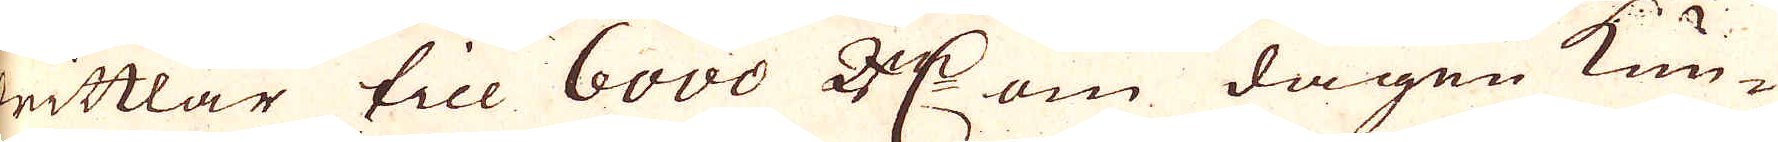drittlar till 6000 R:r om dagen kun-
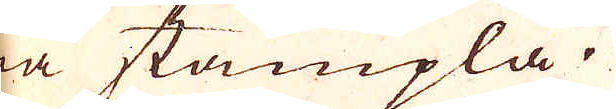na stämpla.
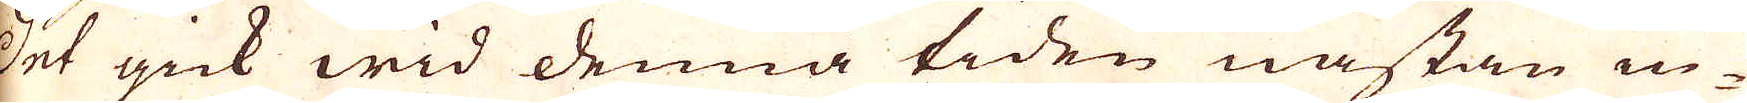Det gick wid denna tiden nästan in-
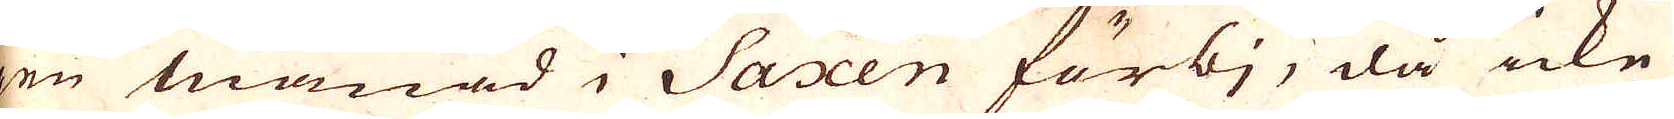gen månad i Saxen förbj, då icke
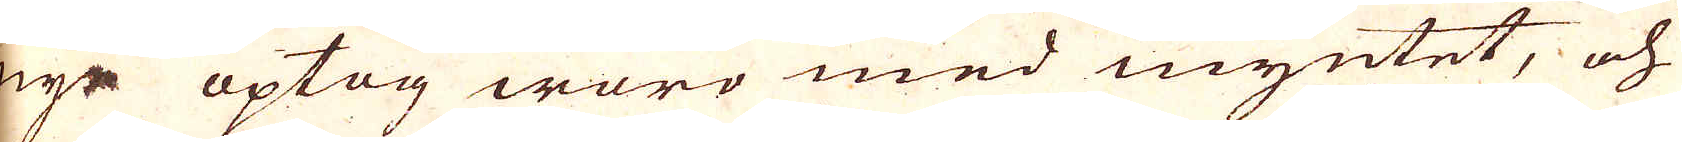nye optag woro med myntet, och
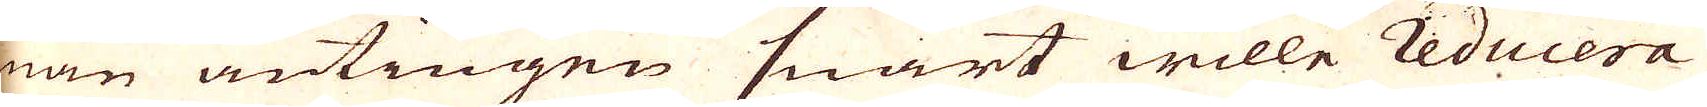man antingen snart wille reducera
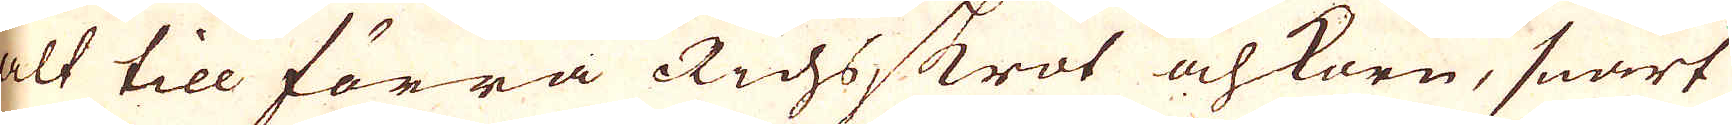alt till förra Richsskrot och korn, snart
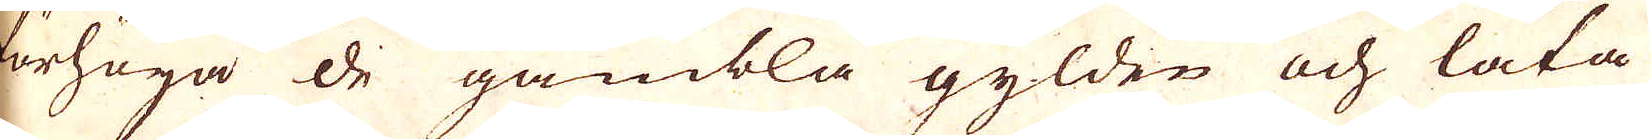förhöja de gambla gylden och låta
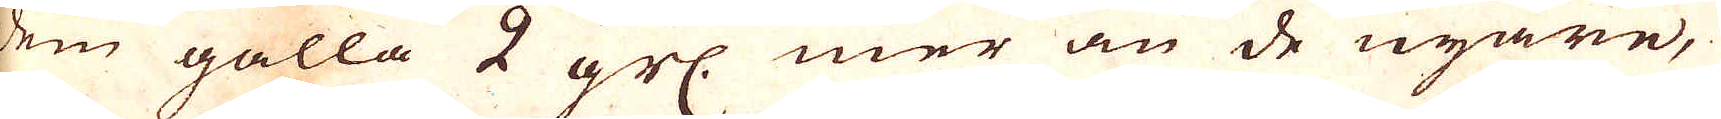dem gälla 2 grs. mer än de nyare,
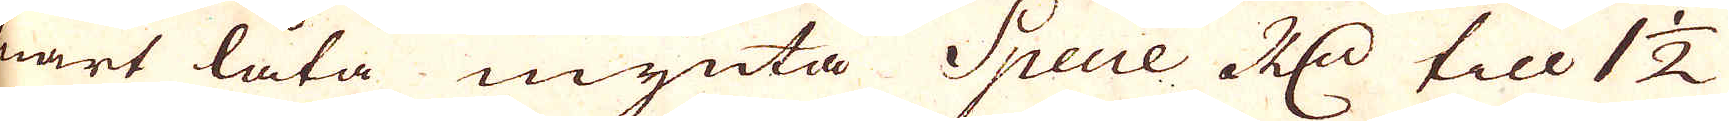snart låta mynta Specie R:dr till 1 1/2
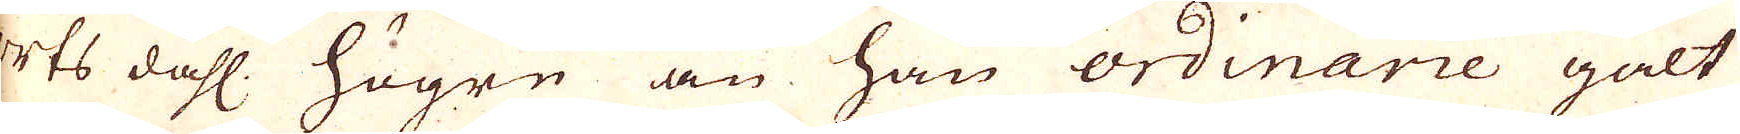orts dahl. högre än han ordinarie galt
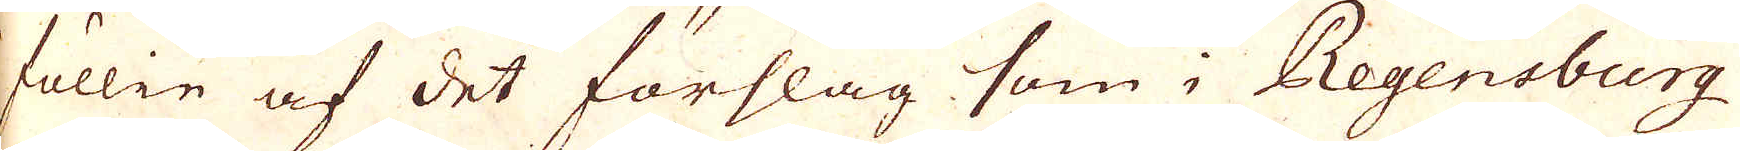i föllie af det förslag som i Regensburg
